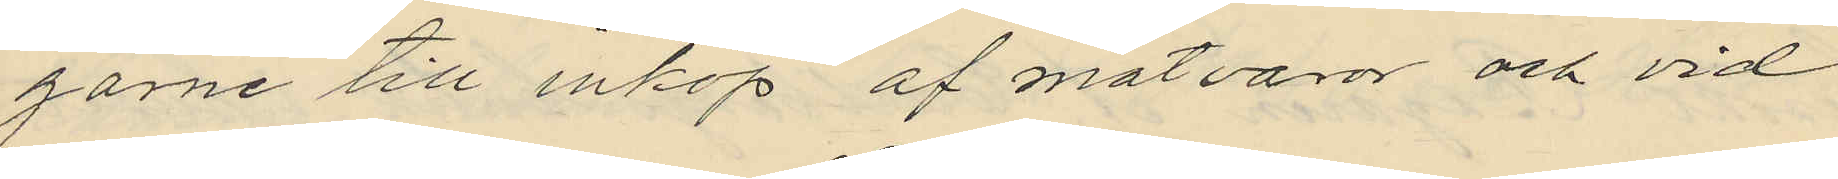garne till inköp af matvaror och vid
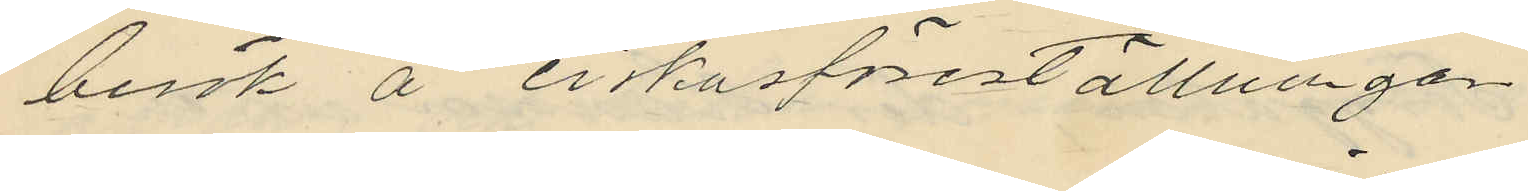besök å cirkusföreställningen
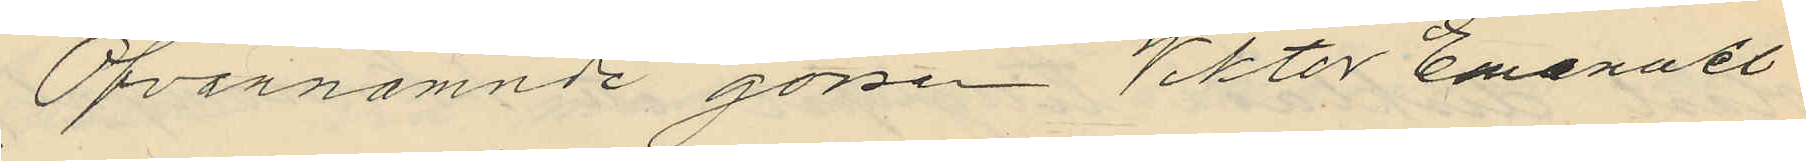Ofvannämnde gossen Viktor Emanuel
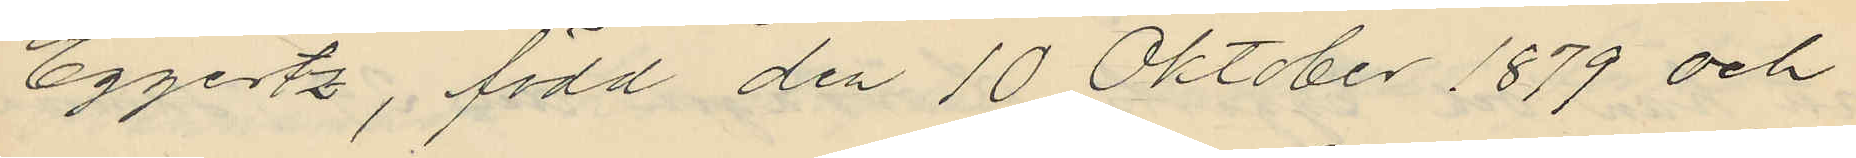Eggertz, född den 10 Oktober 1879 och
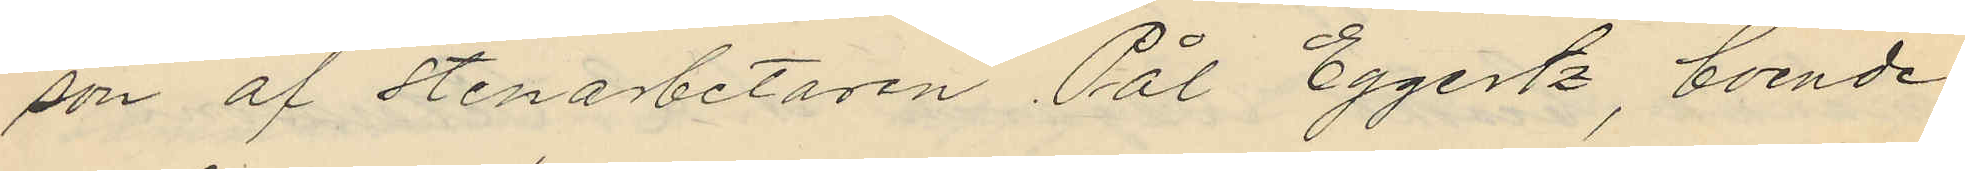son af stenarbetaren Pål Eggertz, boende
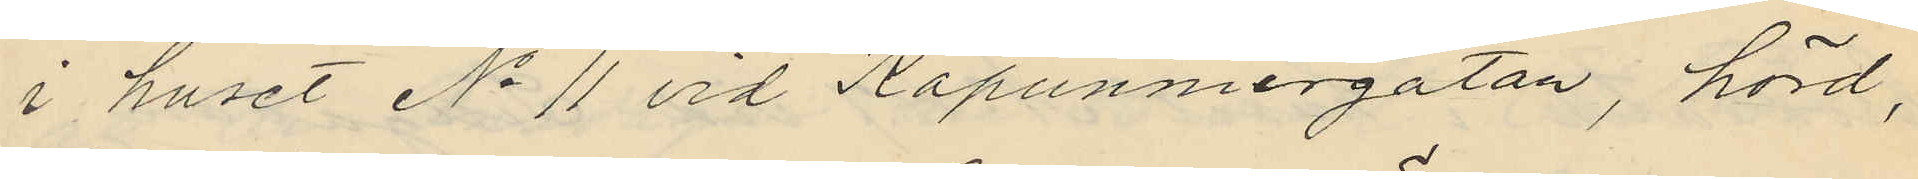i huset No 11 vid Kapunniergatan, hörd,
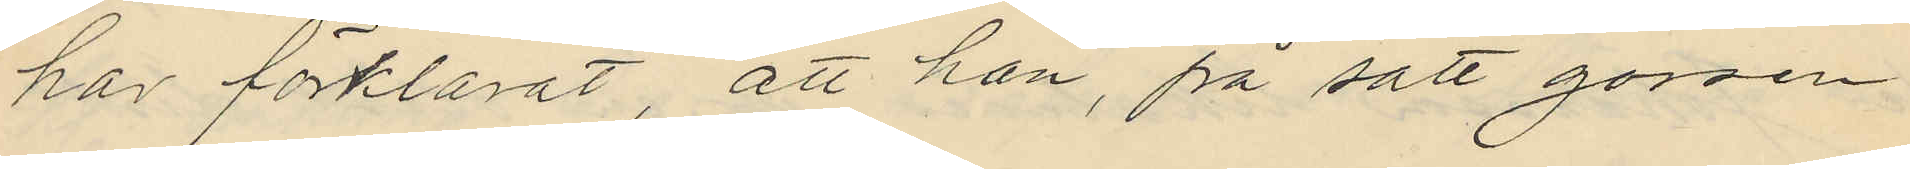har förklarat, att han, på sätt gossen
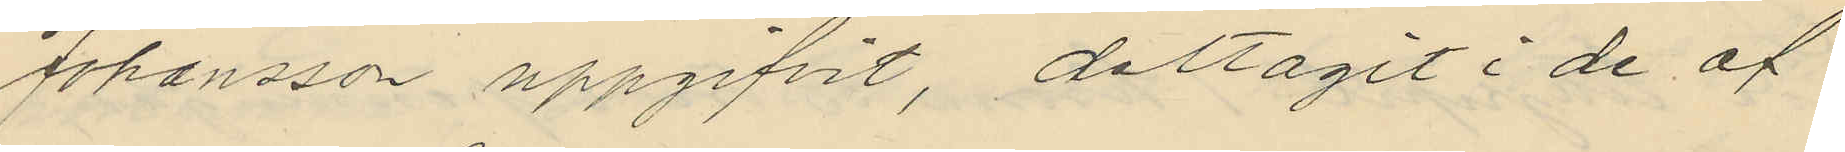Johansson uppgifvit, deltagit i de af
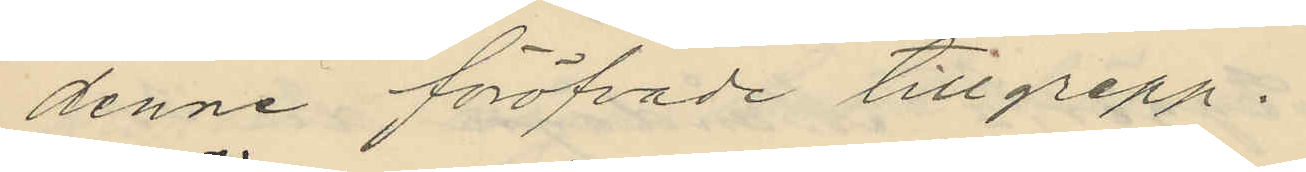denne föröfvade tillgrepp.
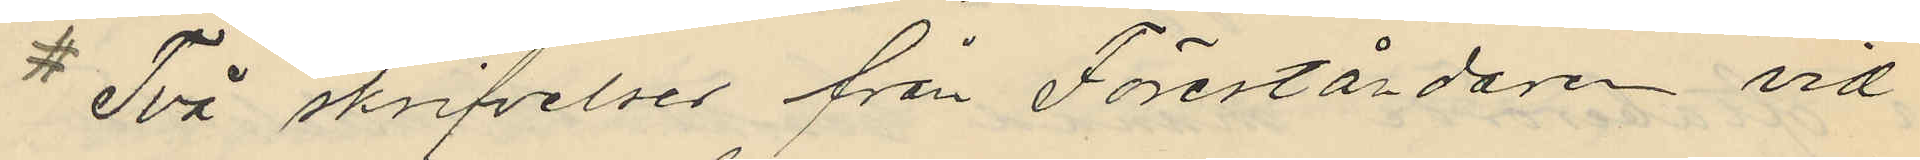# Två skrifvelser från Föreståndaren vid
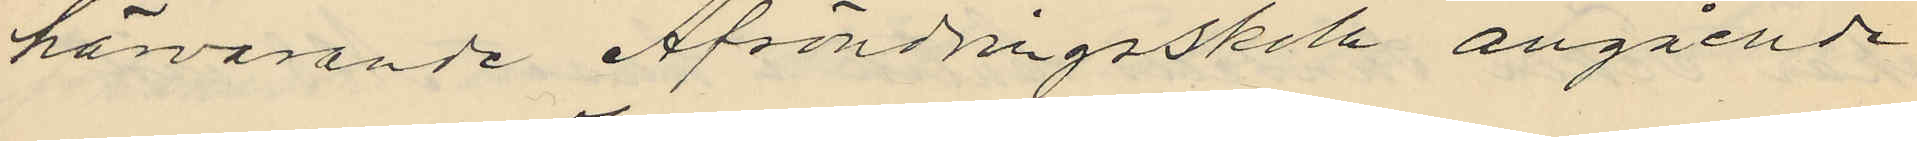härvarande Afsöndringsskola angående
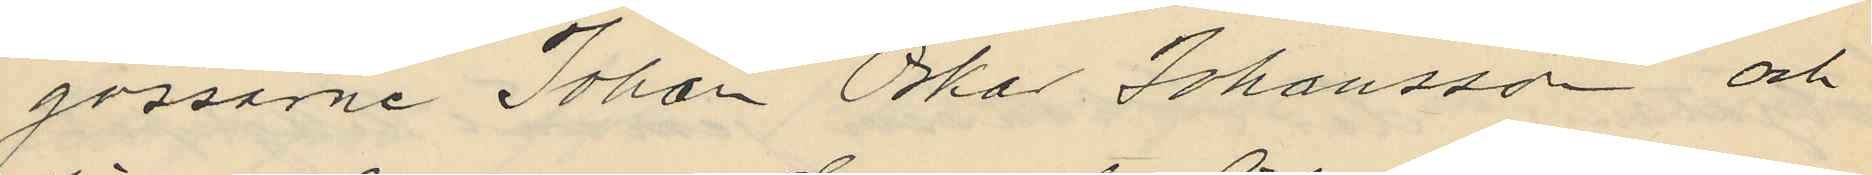gossarne Johan Oskar Johansson och
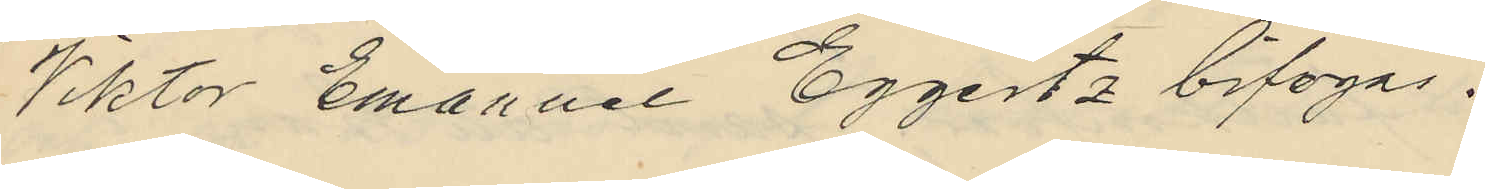Viktor Emanuel Eggertz bifogas.
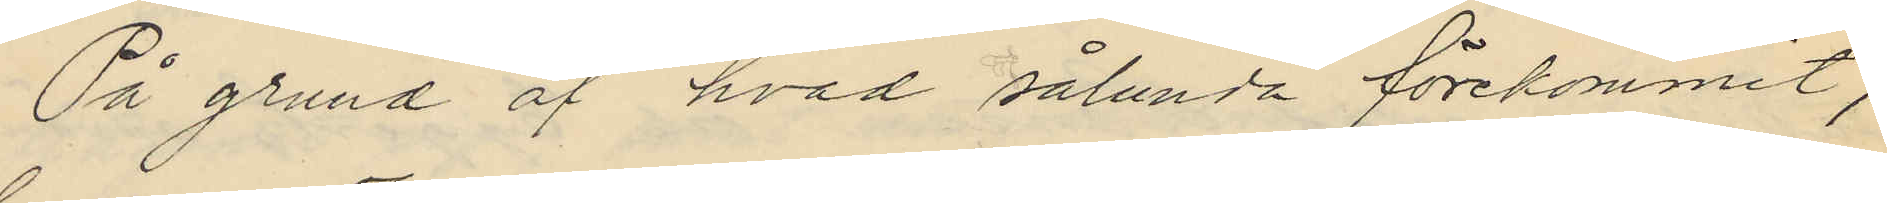På grund af hvad sålunda förekommit,
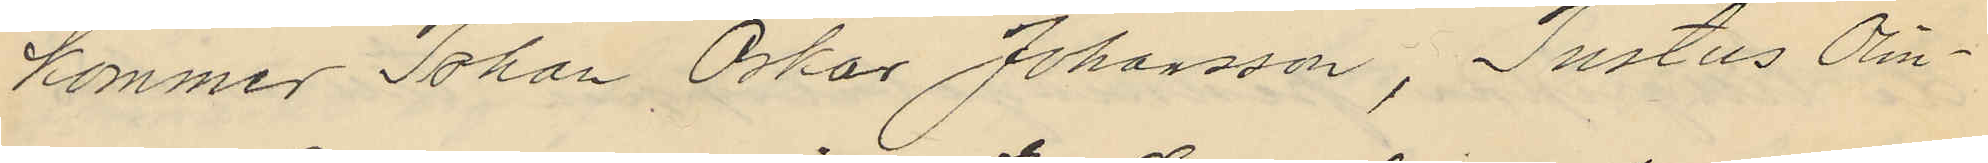kommer Johan Oskar Johansson, Justus Olin¬
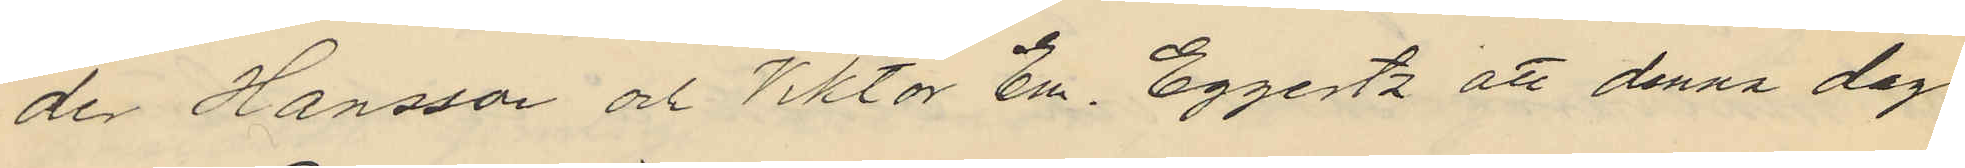der Hansson och Viktor Em. Eggertz att denna dag
